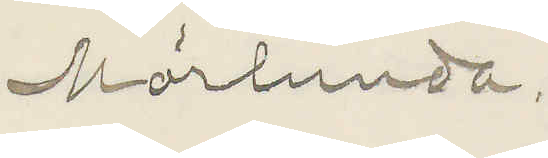Mörlunda.
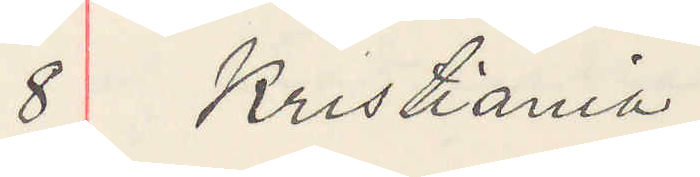8 Kristiania
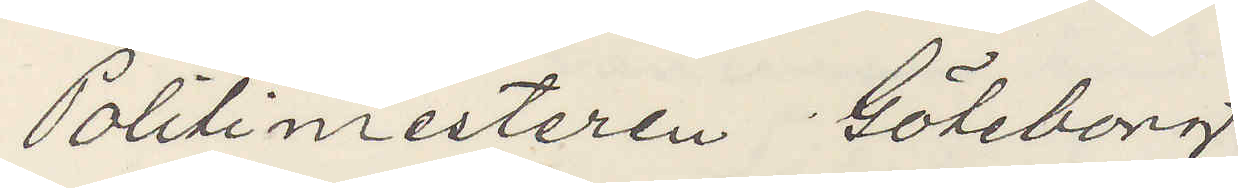Politimesteren Göteborg
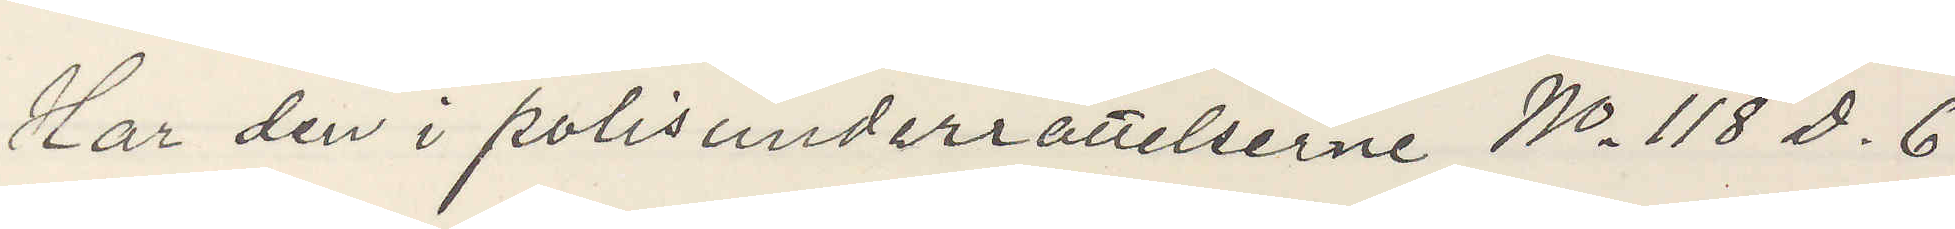Har den i polisunderrättelserne No 118 D. 6
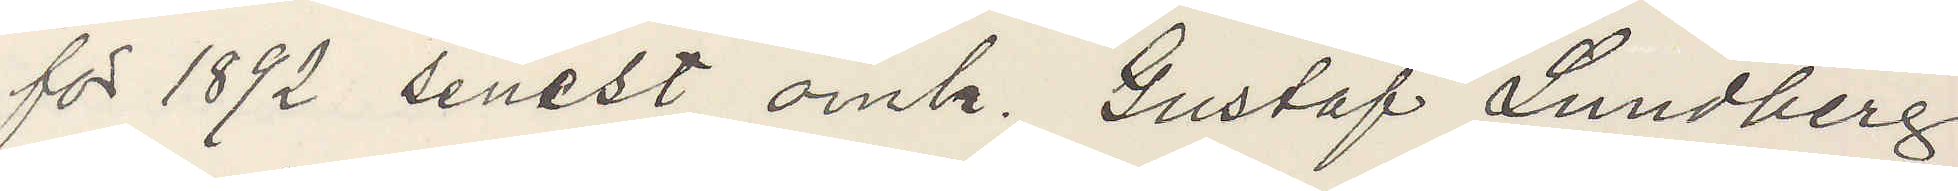for 1892 senest omh. Gustaf Lundberg
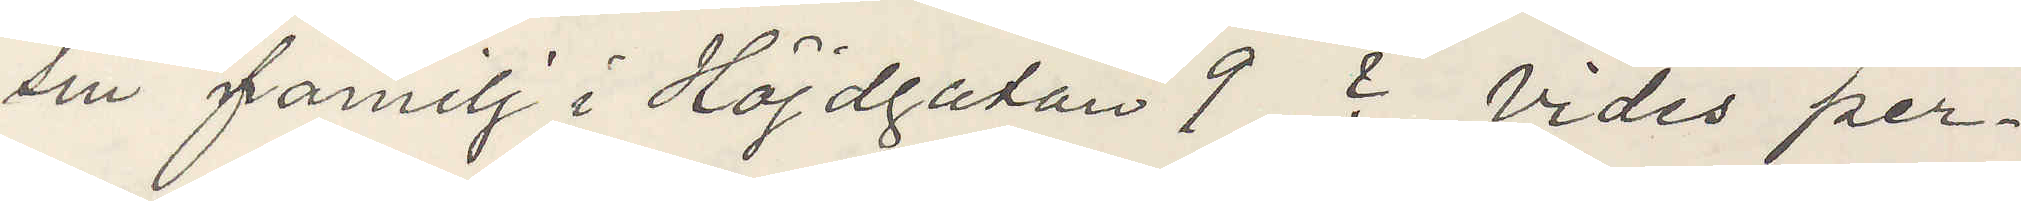sin familj i Höjdgatan 9 ? vides per¬
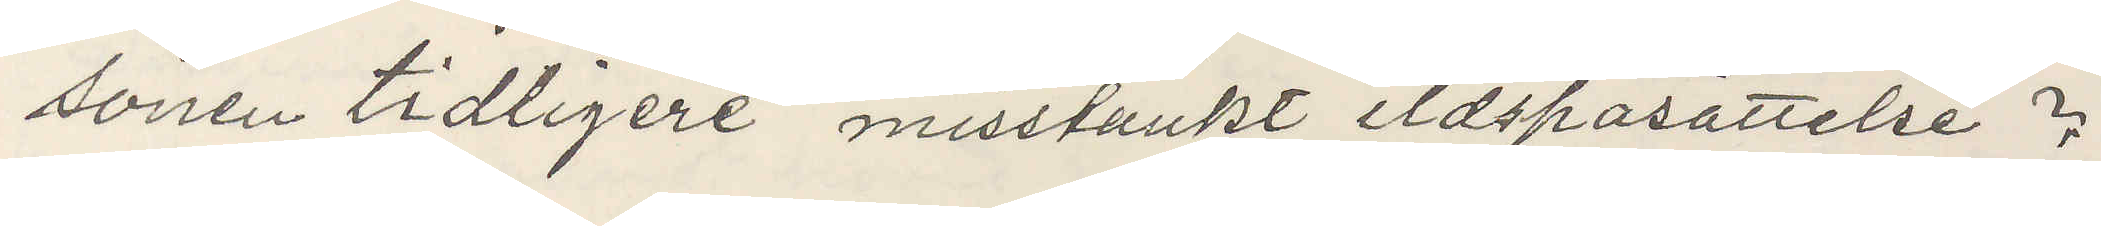sonen tidligere misstänkt ildspasättelse?
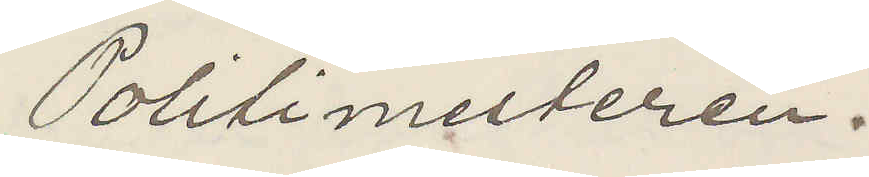Politimesteren.
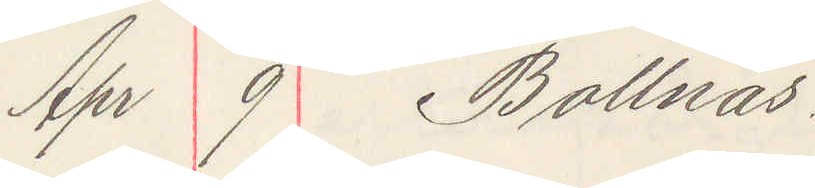Apr 9 Bollnäs.
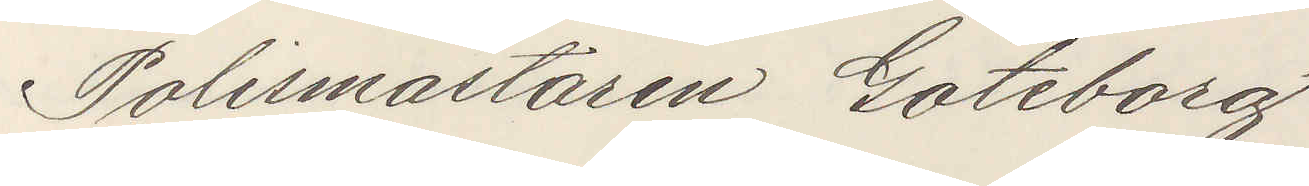Polismästaren Göteborg
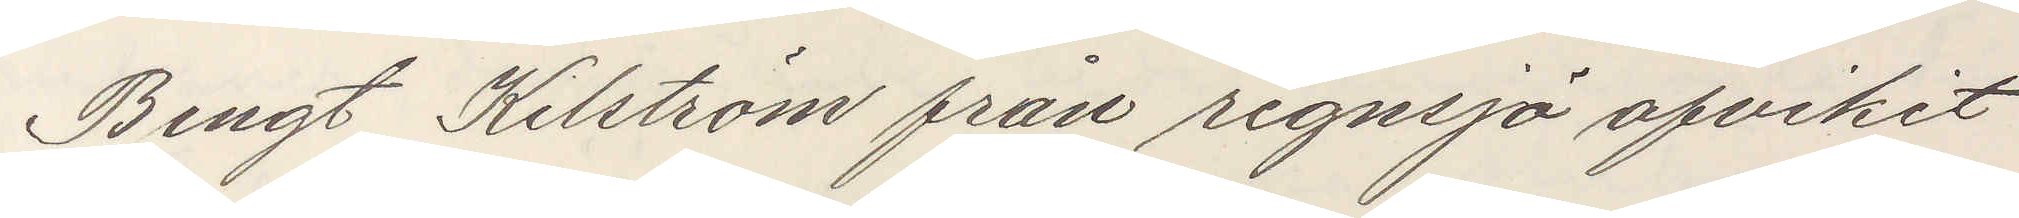Bengt Kilström från regnsjö afvikit
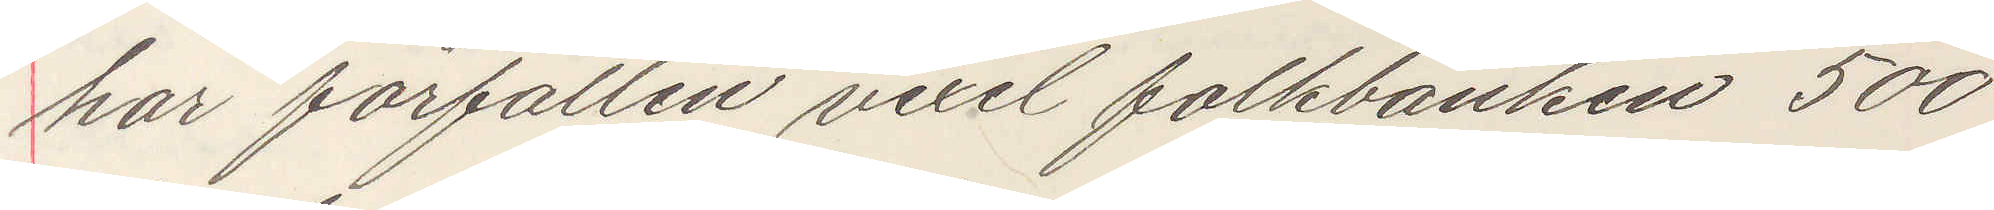har förfallen vexel folkbanken 500
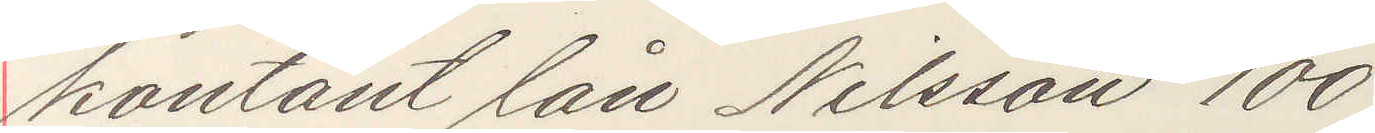kontant lån Nilsson 100
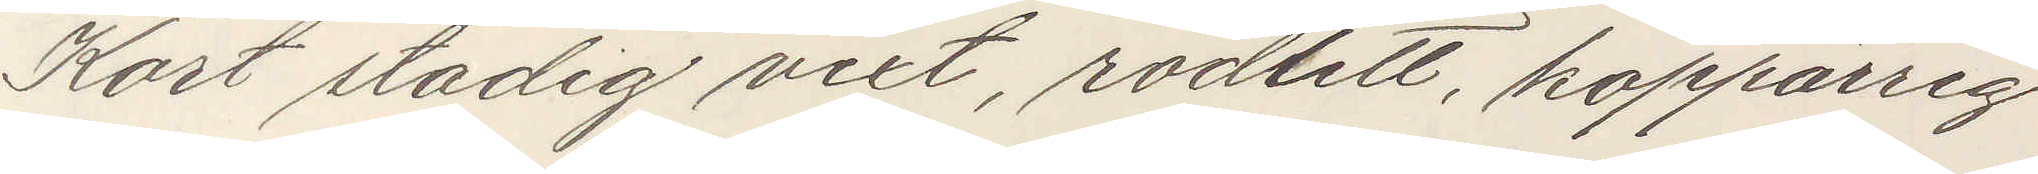Kort stadig vext rödlett koppärrig
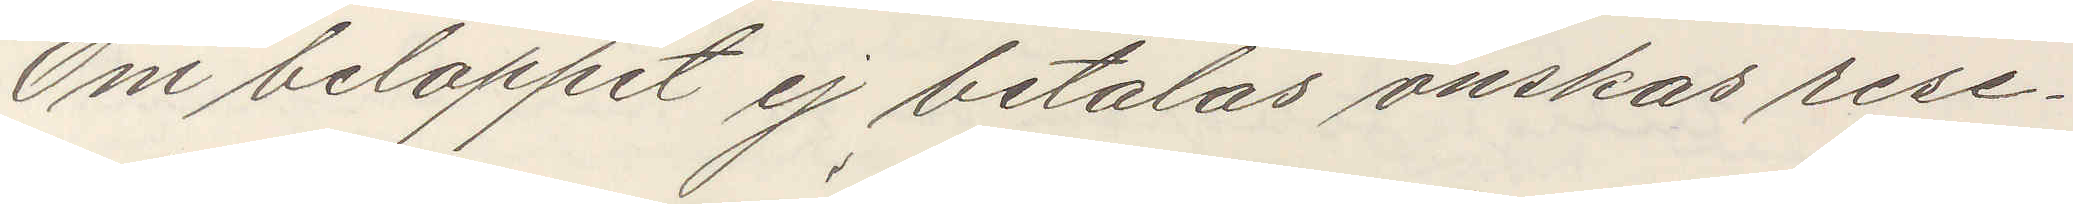Om beloppet ej betalas önskas rese¬
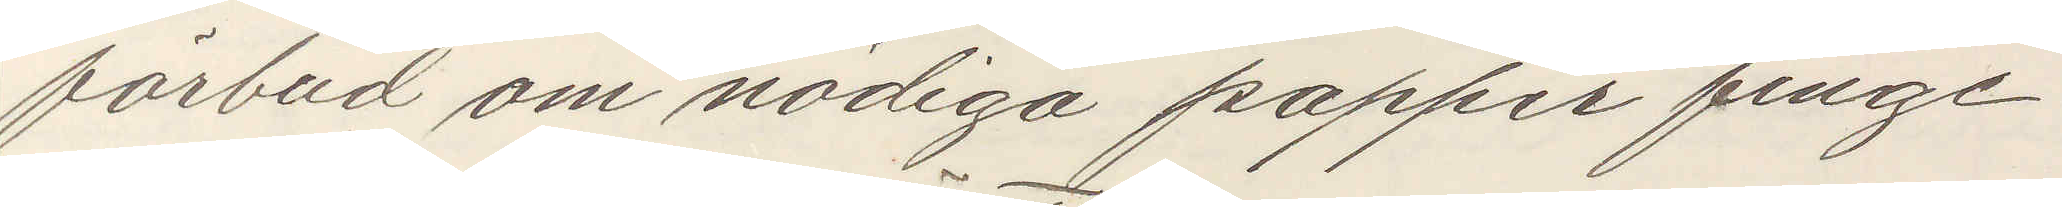förbud om nödiga papper finge
